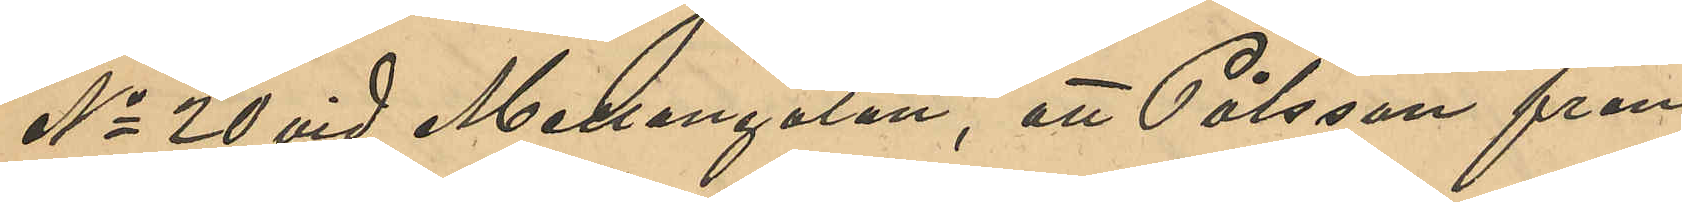No 20 vid Mellangatan, att Pålsson från
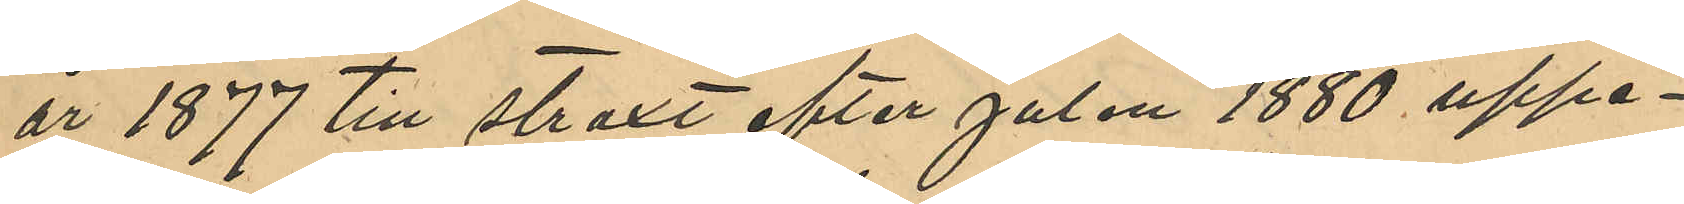år 1877 till straxt efter julen 1880 uppe¬
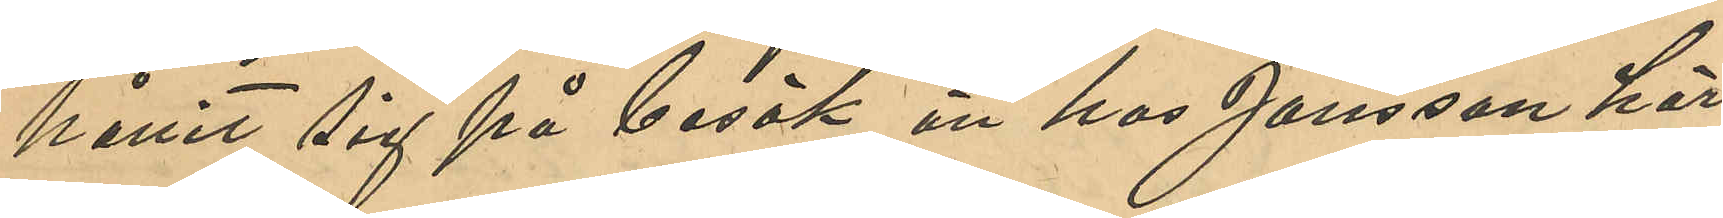hållit sig på besök än hos Jansson här 
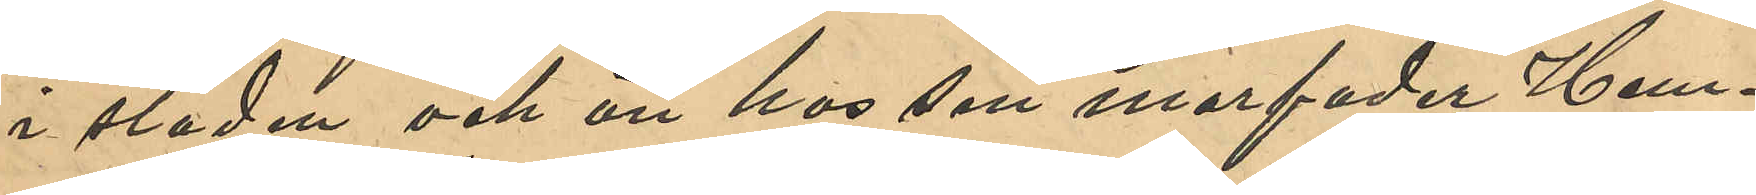i staden och än hos sin morfader Hem¬
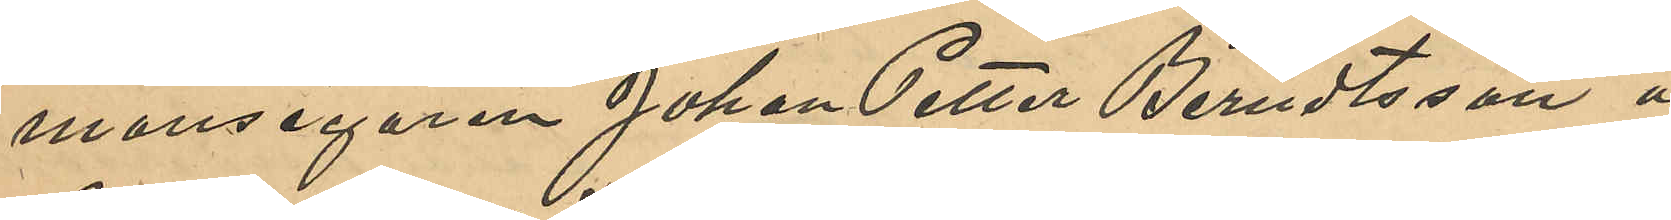mansegaren Johan Petter Berndtsson å
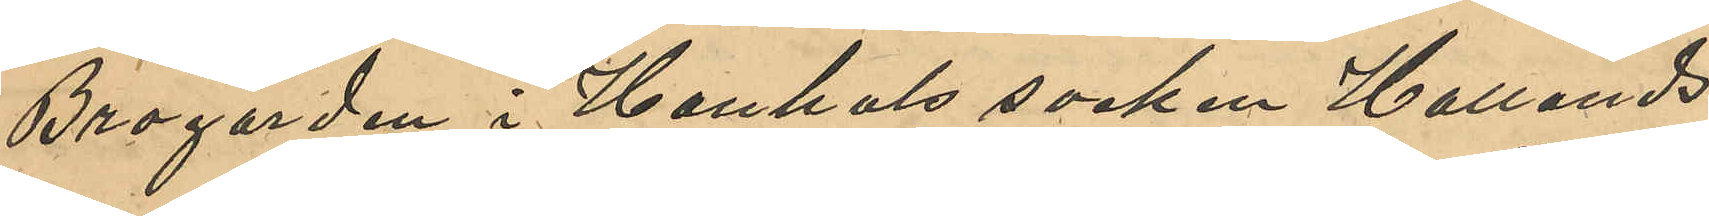Brogården i Hanshals socken Hallands
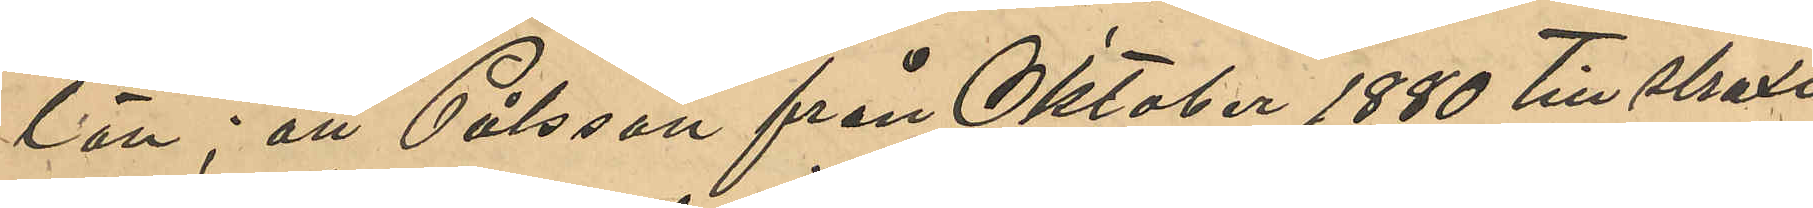län; att Pålsson från Oktober 1880 till straxt
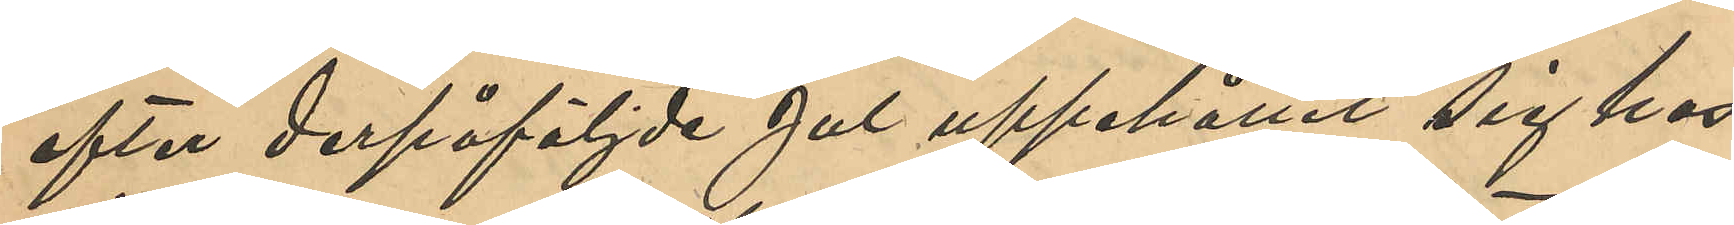efter derpåföljde Jul uppehållit sig hos
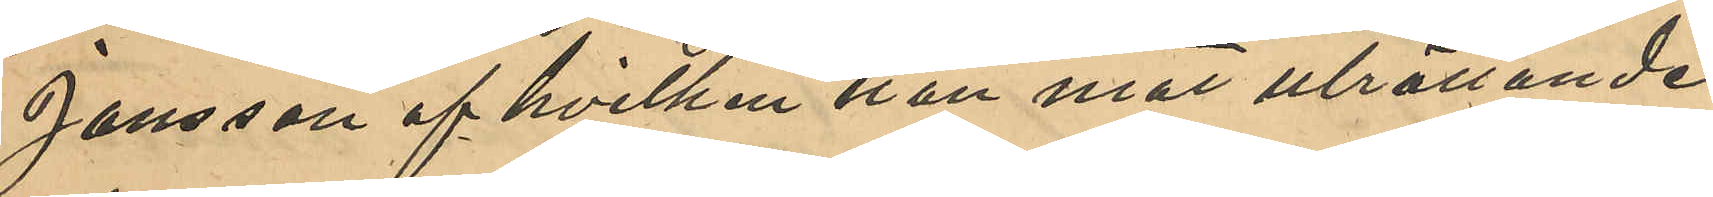Jansson af hvilken hon mot uträttande
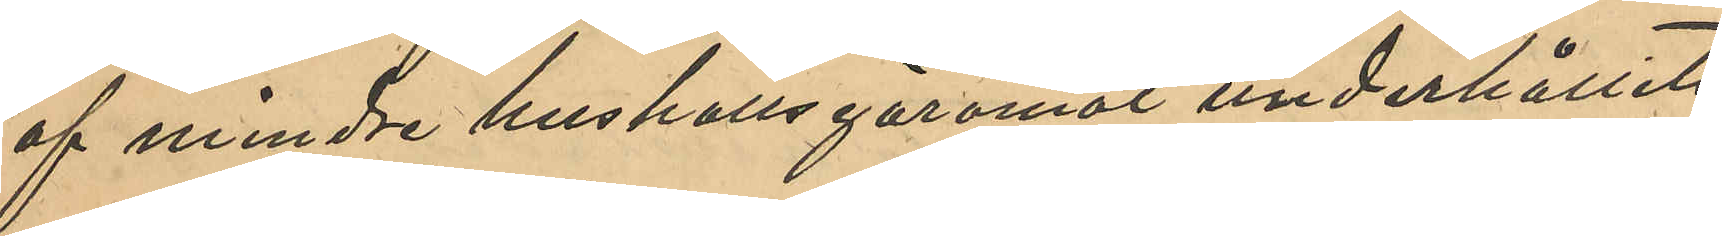af mindre hushållsgöromål underhållits;
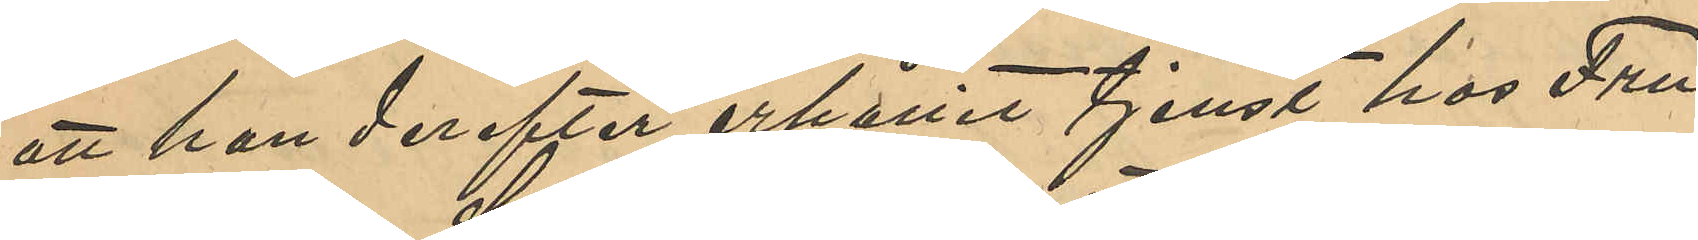att hon derefter erhållit tjenst hos Fru
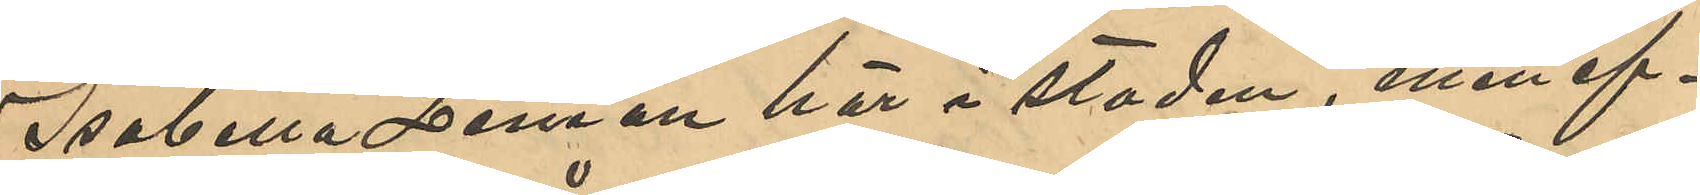Isabella Leman här i staden, men ef¬
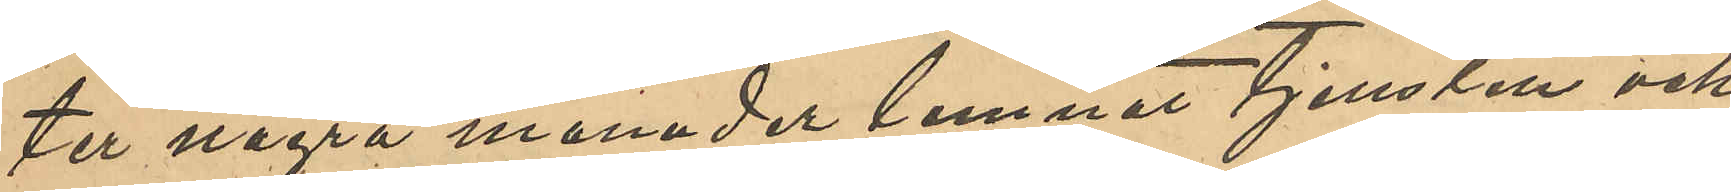ter några månader lemnat tjensten och
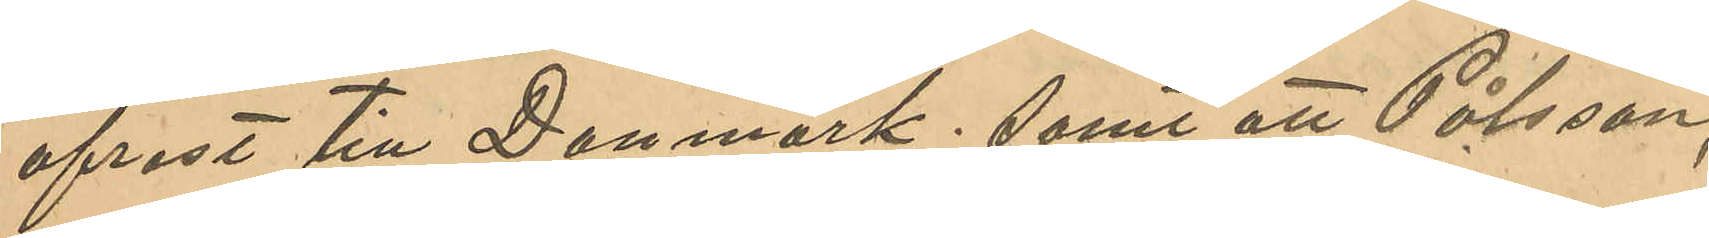afrest till Danmark; samt att Pålsson,
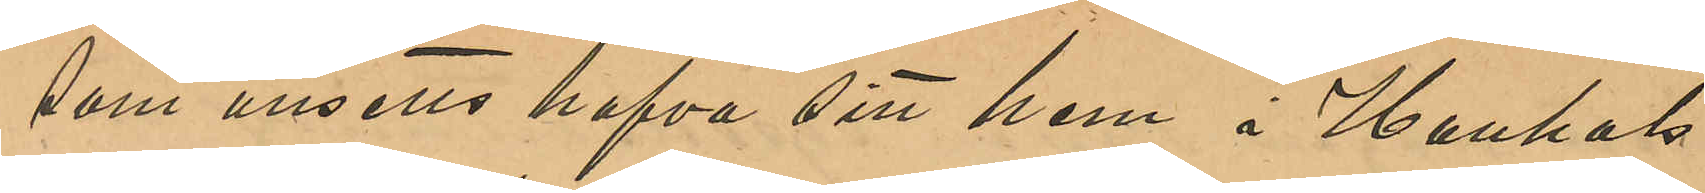som ansetts hafva sitt hem i Hanshals
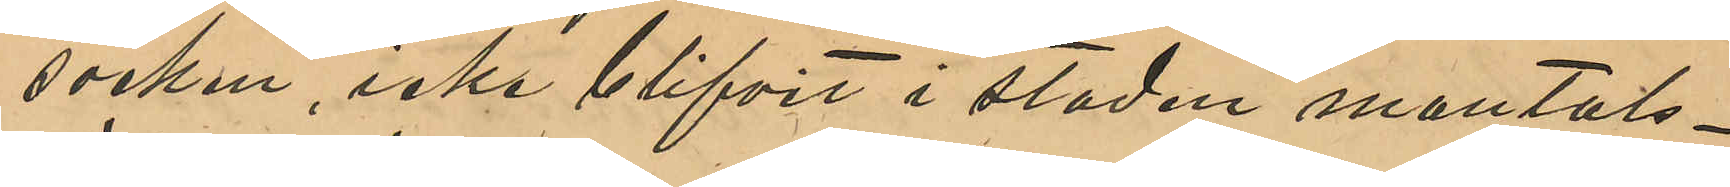socken, icke blifvit i staden mantals¬
